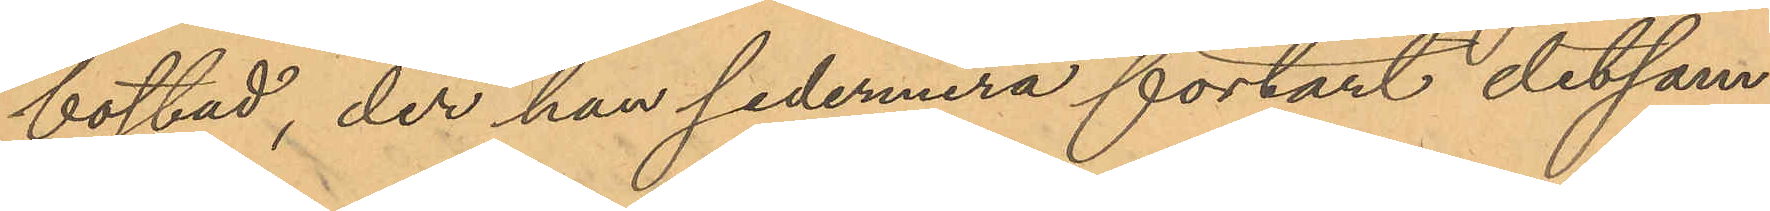bostad, der han sedermera förtärt detsam¬
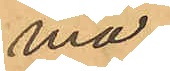ma;
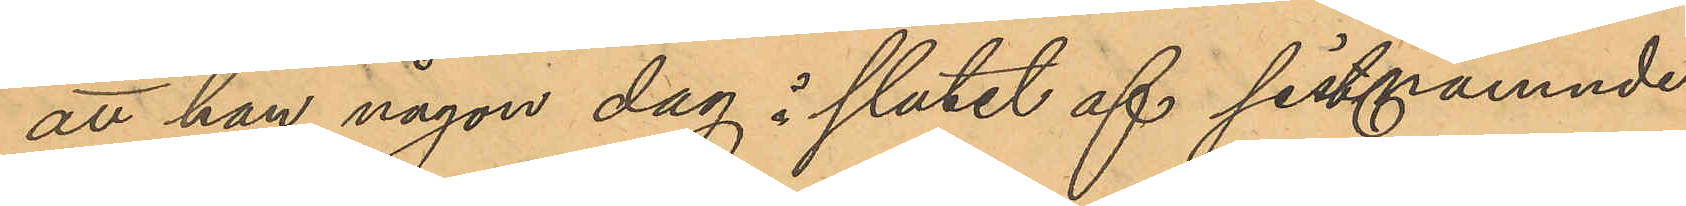att han någon dag i slutet af sistämnde
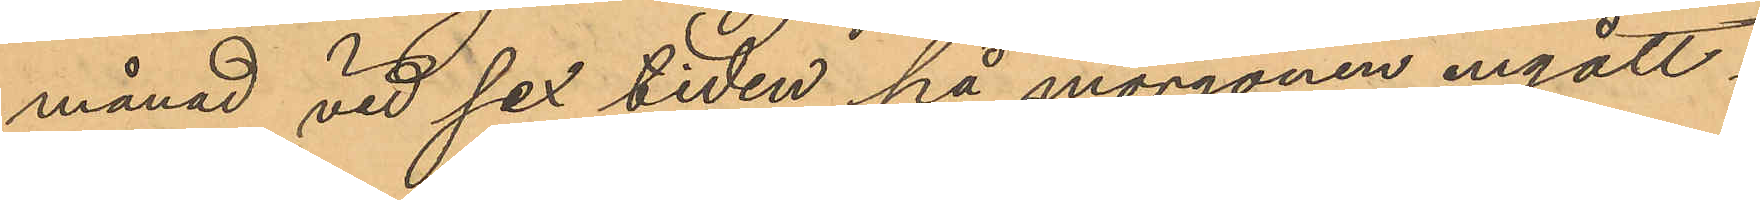månad vid sex tiden på morgonen ingått i
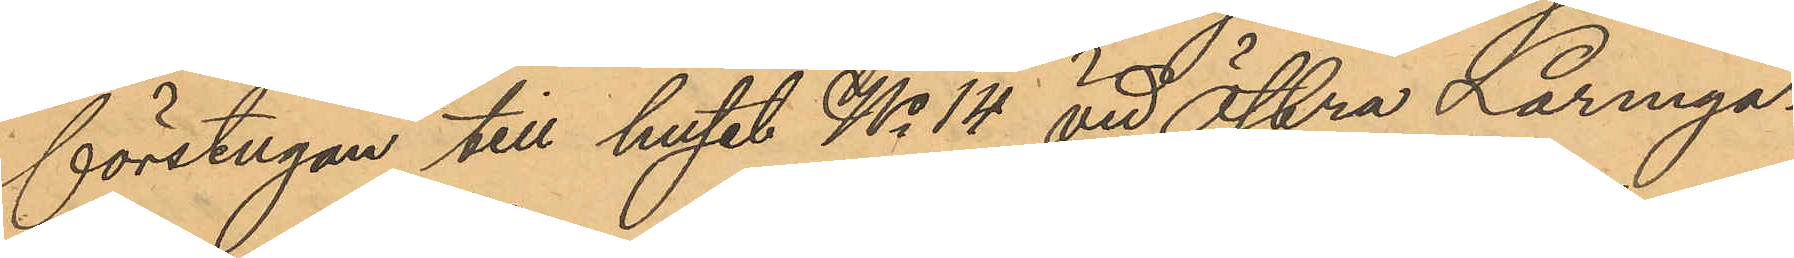förstugan till huset No 14 vid Östra Larmga¬
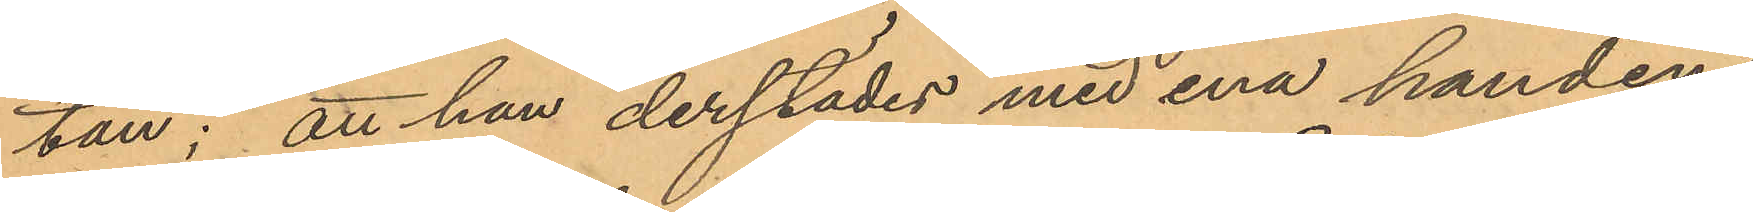tan; att han derstädes med ena handen
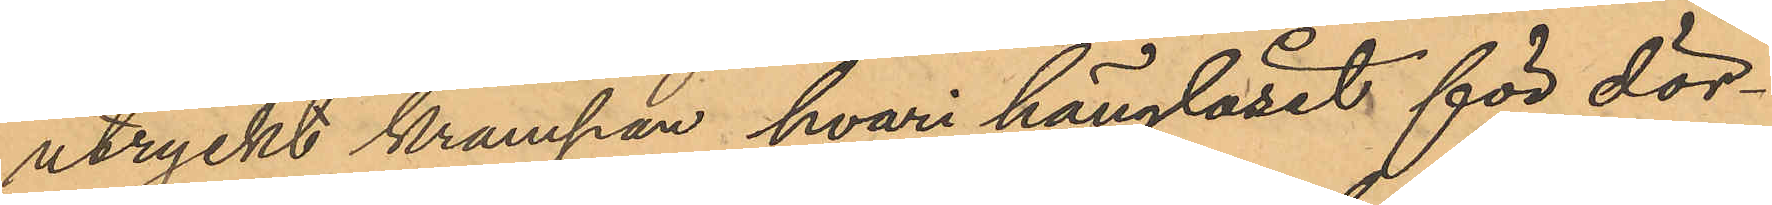utryckt krampan hvari hänglåset för dör¬
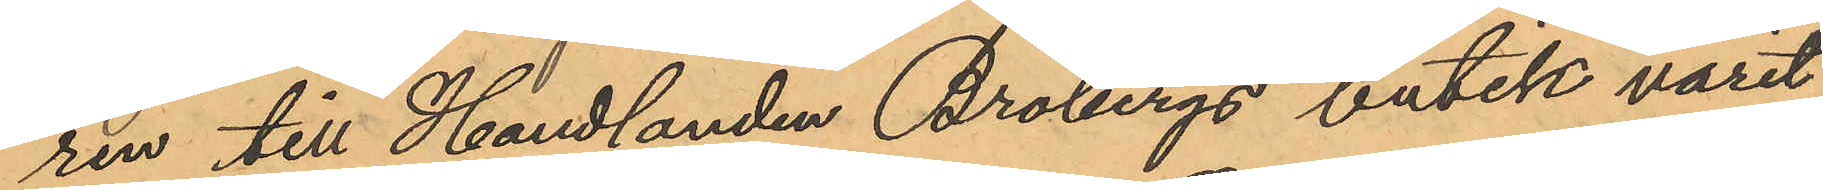ren till Handlanden Brobergs butik varit
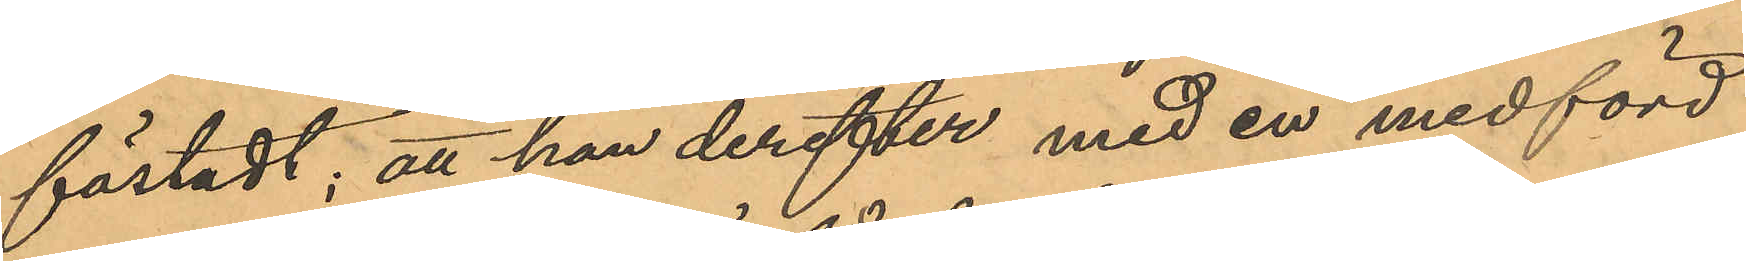fästadt; att han derefter med en medförd
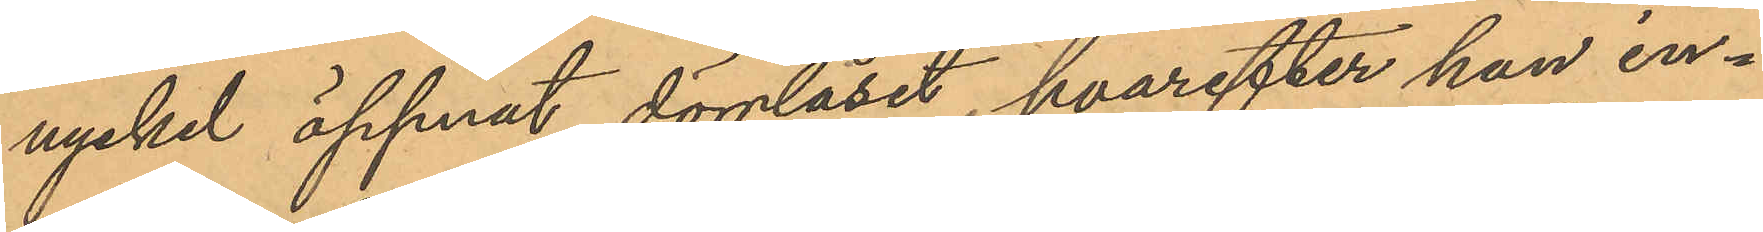nyckel öppnat dörrlåset, hvarefter han in¬
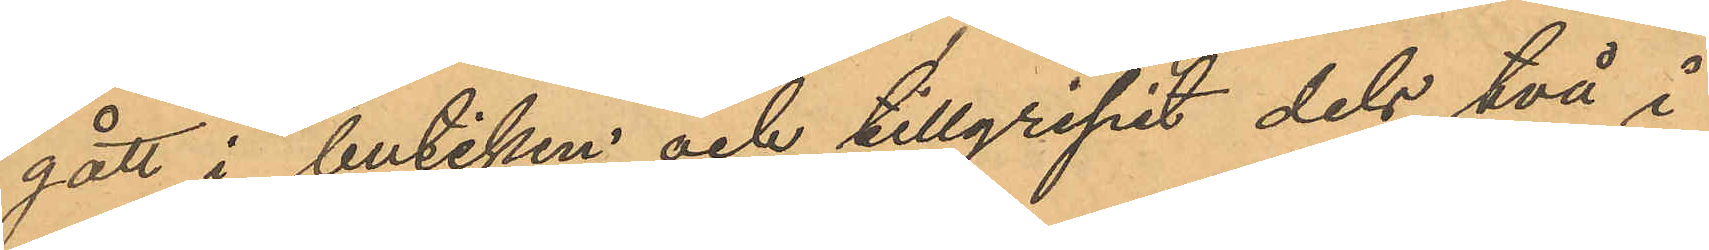gått i butiken och tillgripit dels två i
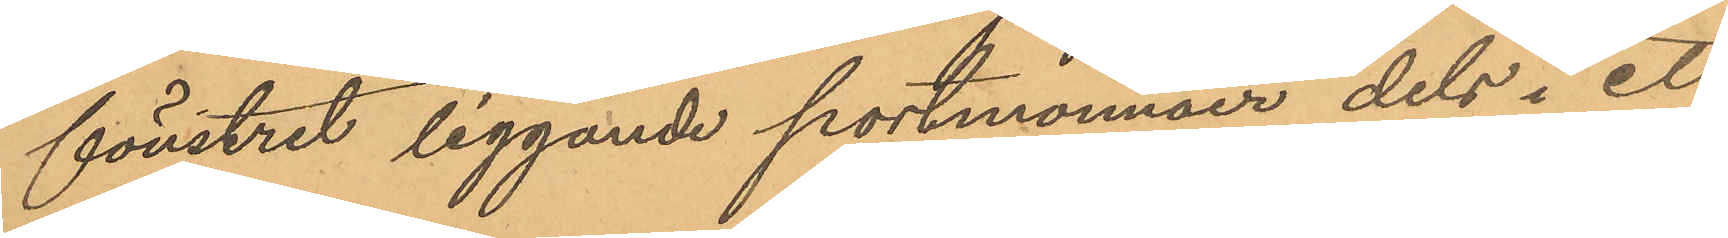fönstret liggande portmonnäer dels i ett
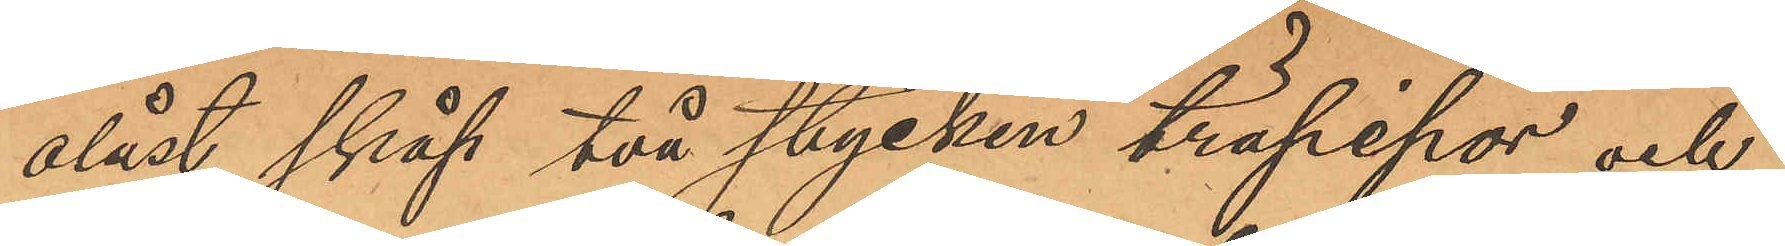olåst skåp två stycken träpipor och
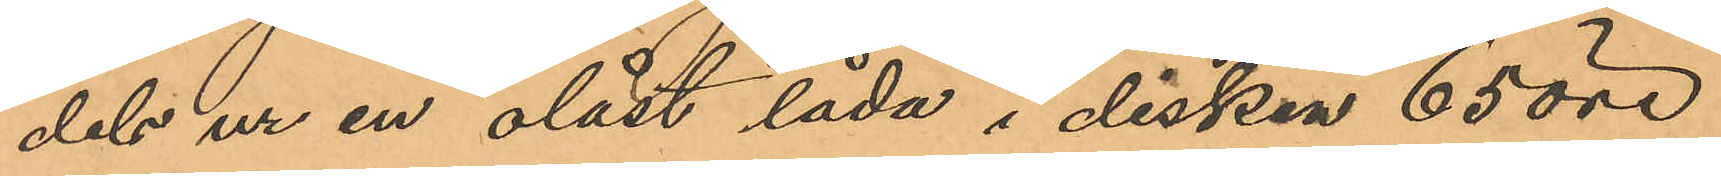dels ur en olåst låda i disken 65 öre
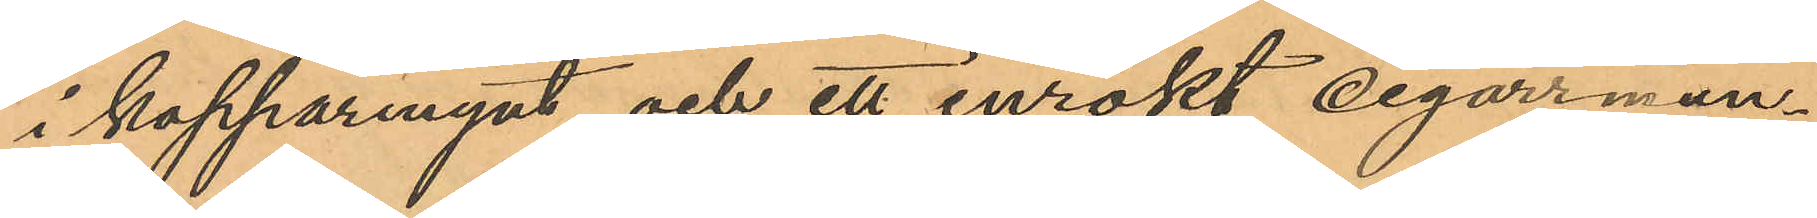i kopparmynt och ett inrökt cigarrmun¬
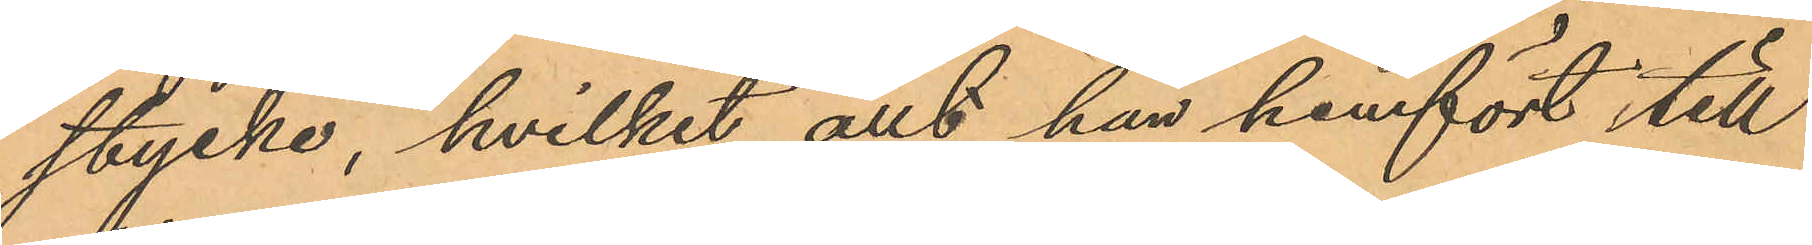stycke, hvilket allt han hemfört till
